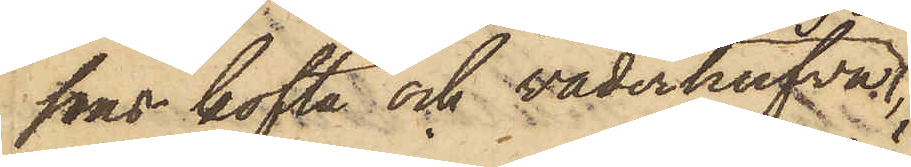sons kofta och väderhufva
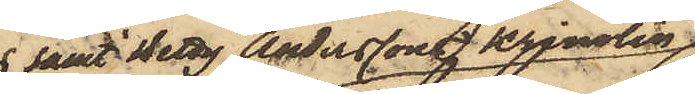 samt Betty Anderssons krinolin
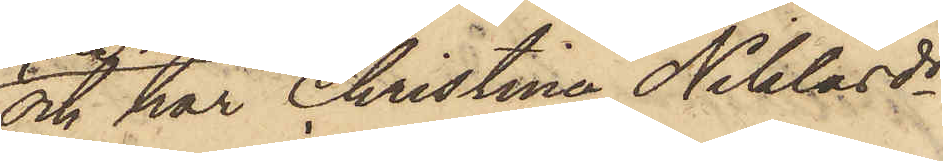och har Christina Niklasdr
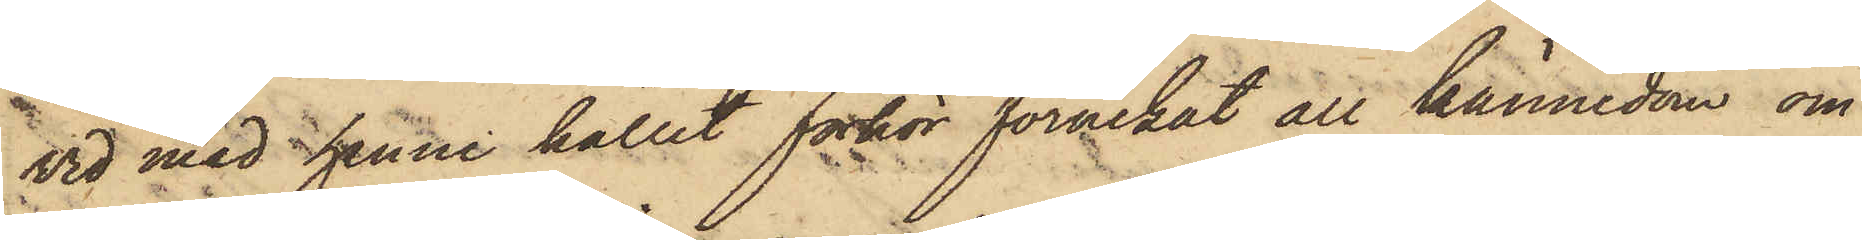vid med henne hållet förhör förnekat all kännedom om
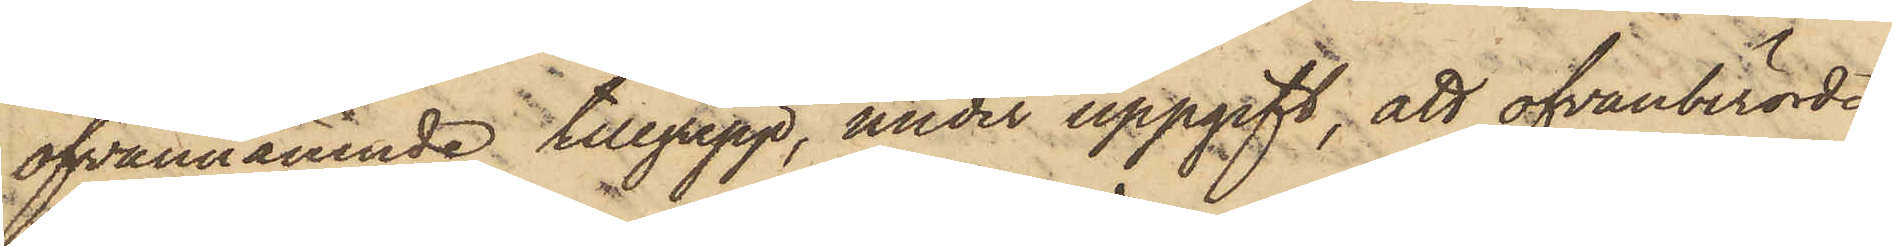ofvannämnde tillgrepp, under uppgift, att ofvanberörde
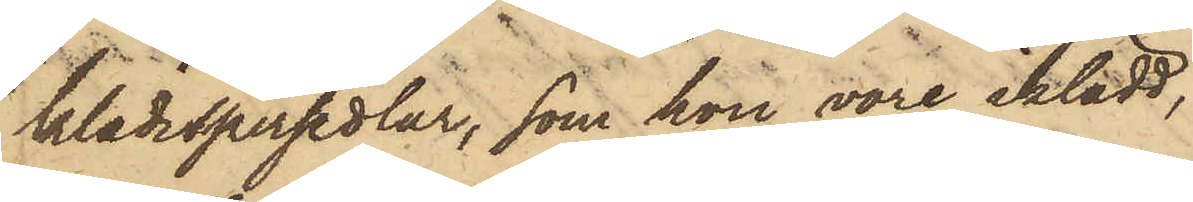klädespersedlar, som hon vore iklädd,
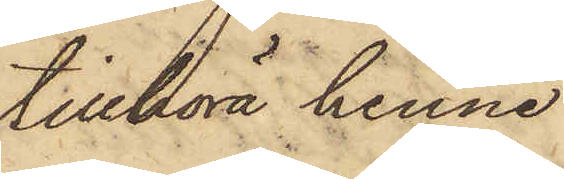tillhöra henne
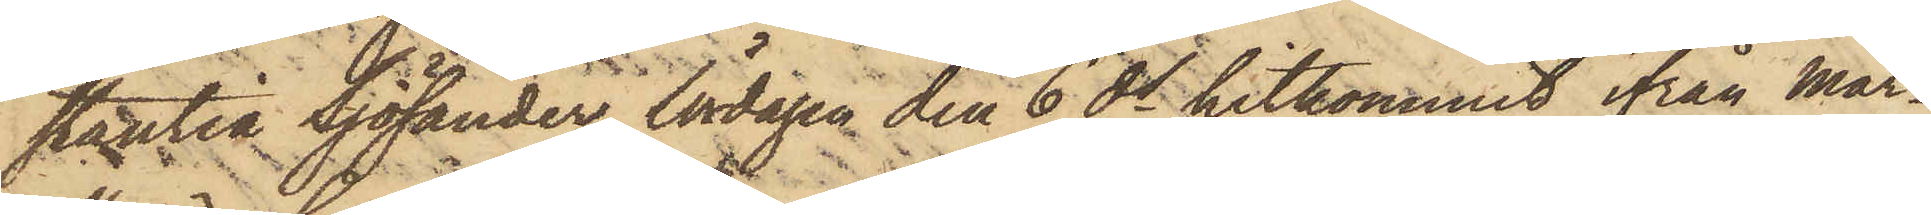stantia Sjölander, lördagen den 6 ds hitkommit ifrån Mar¬
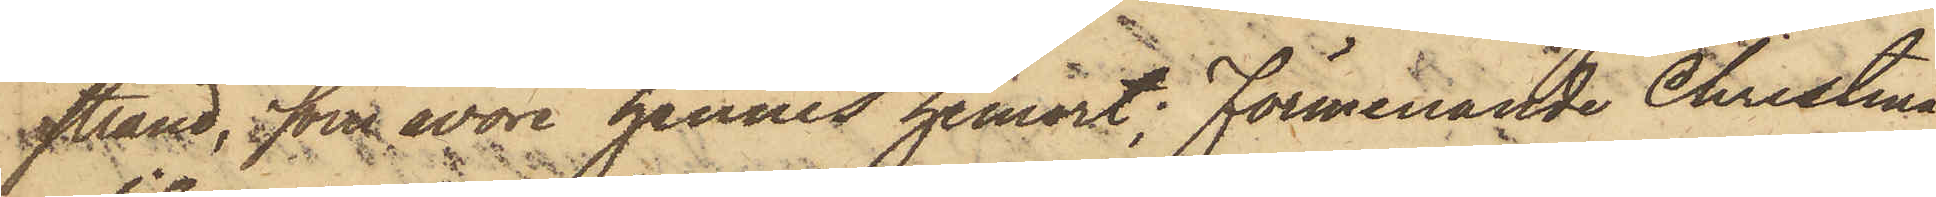strand, som wore hennes hemort; Förmenande Christina
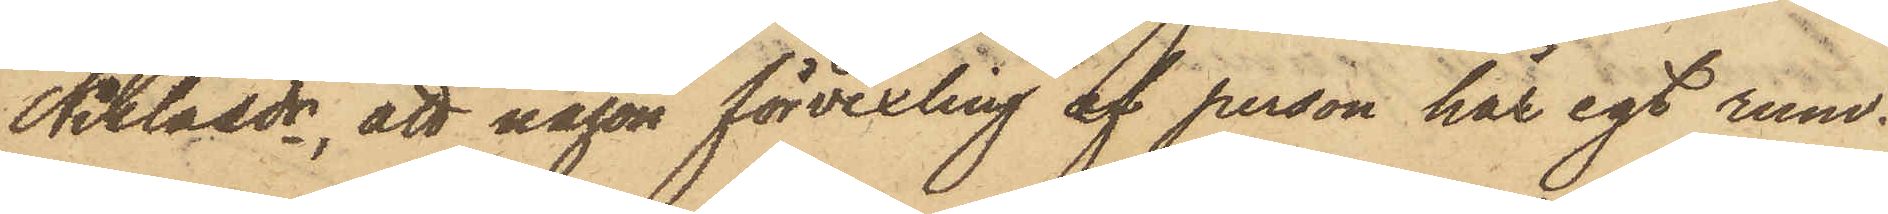Niklasdr, att någon förvexling af person här egt rum.
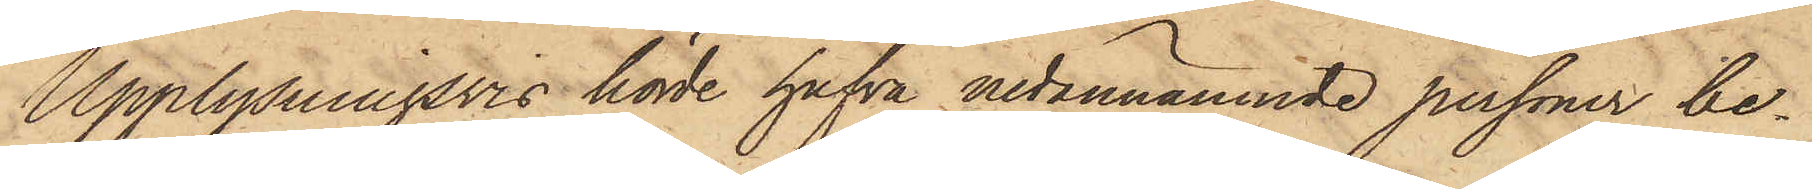Upplysningsvis hörde hafva nedannämnde personer be¬
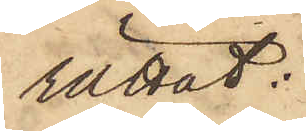rättat:
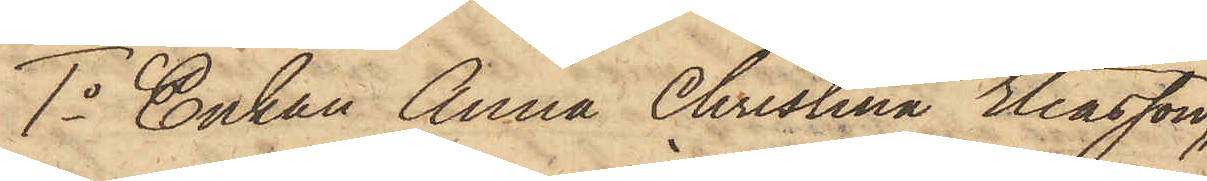1o Enkan Anna Christina Eliasson,
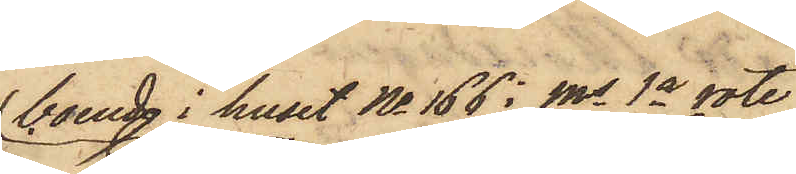boende i huset No 166 i Ms 1a rote
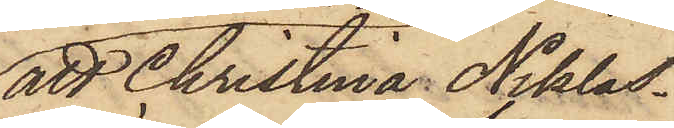att Christina Niklas¬
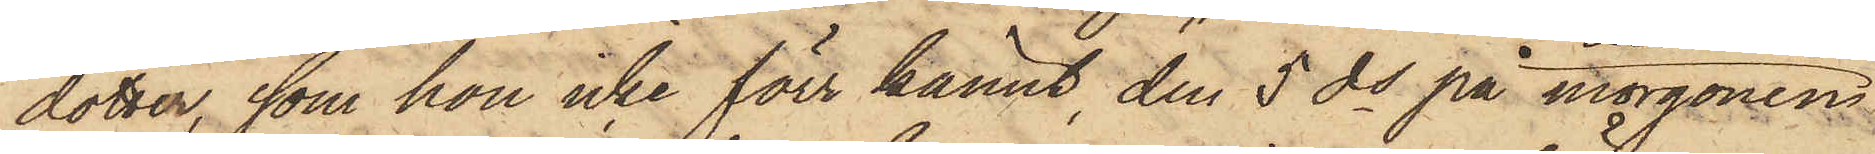dotter, som hon icke förr kännt, den 5 ds på morgonen
